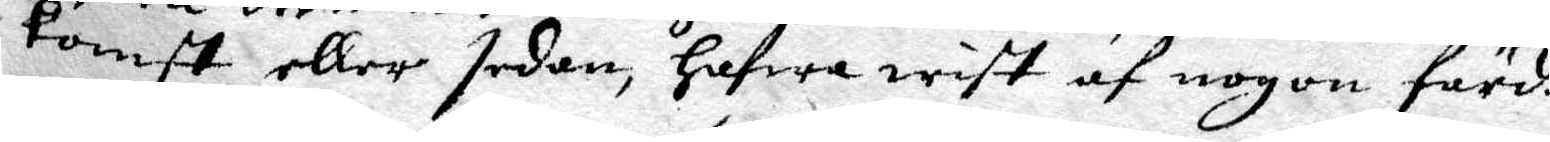komst eller sedan, hafwa wist af nogen färd.
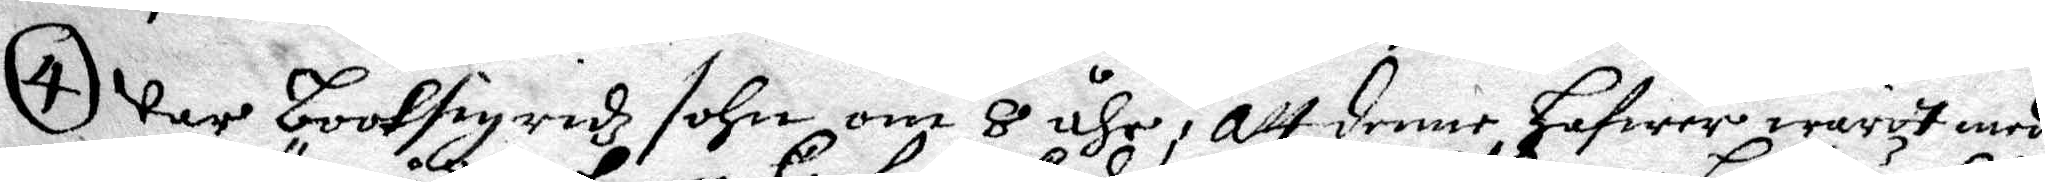4 Var Booksigredz sohn om 8 åhr, att denne hafwer warit med
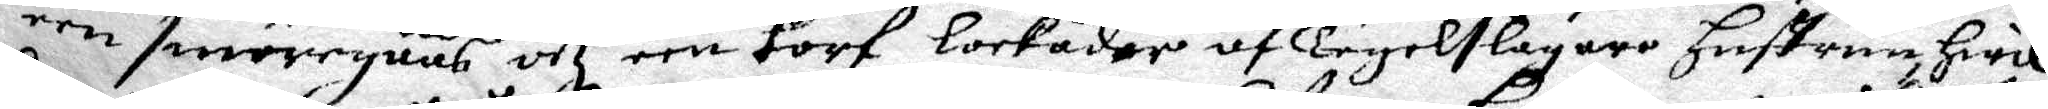een smörgåås och een korf lockader af Tegelslagare hustrun hwil¬
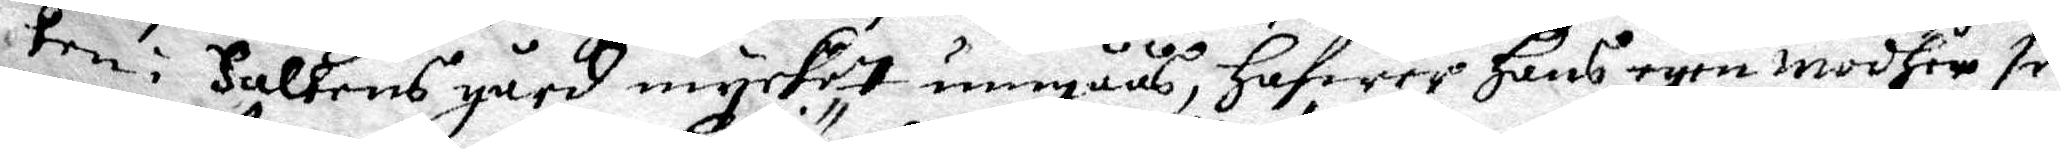ken i Falkens gård mycket umgåås, hafwer hans egen modher se¬
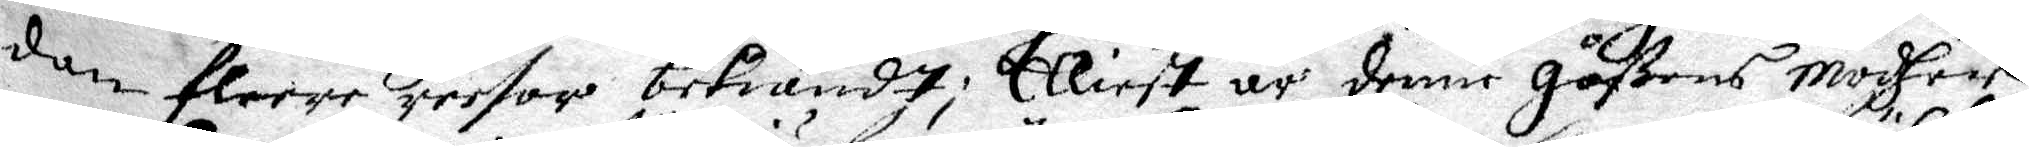dan fleere reesor bekiändt; Eliest är denne gåßens modhet
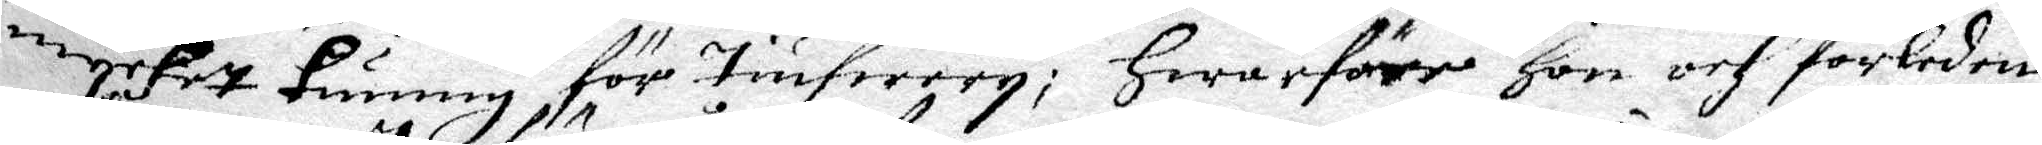mycket kunnig för Tiufwery; hwarföre hon och förlenen
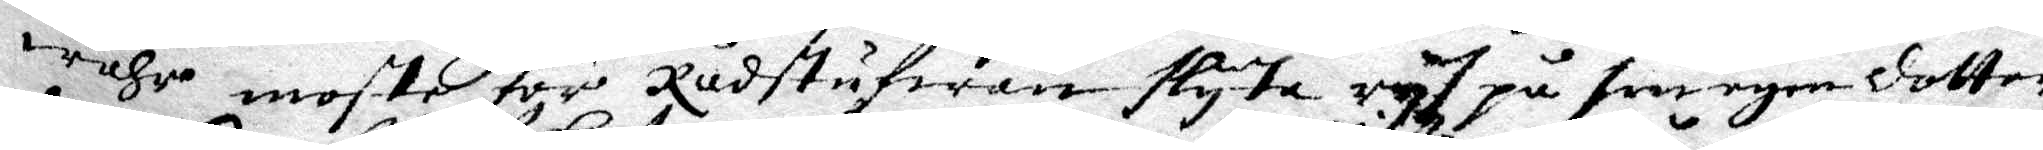wåhr moste för Rådstufwan slyta rys på sin egen dotter
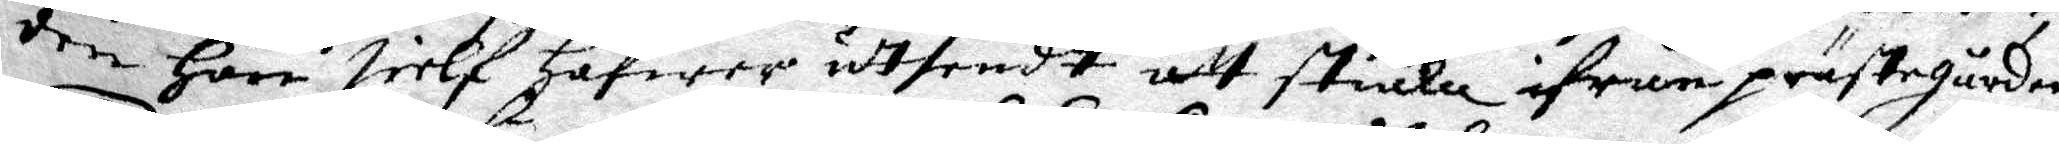den hon sielf hafwer utsendt att stiäla ifrån prästgården
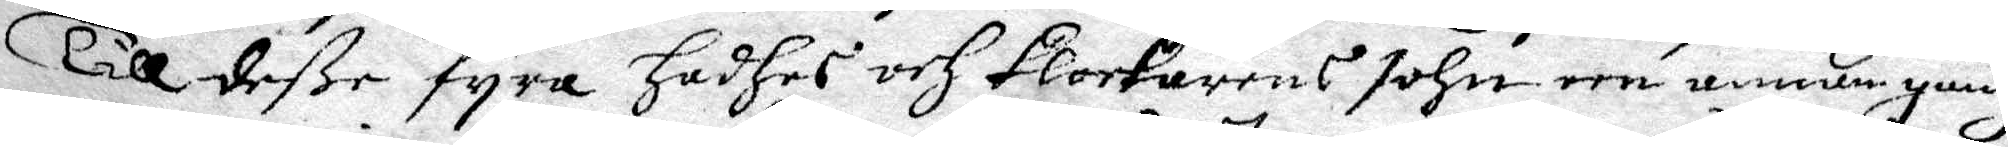Till deße fyra hadhes och klockarens sohn een annan gång
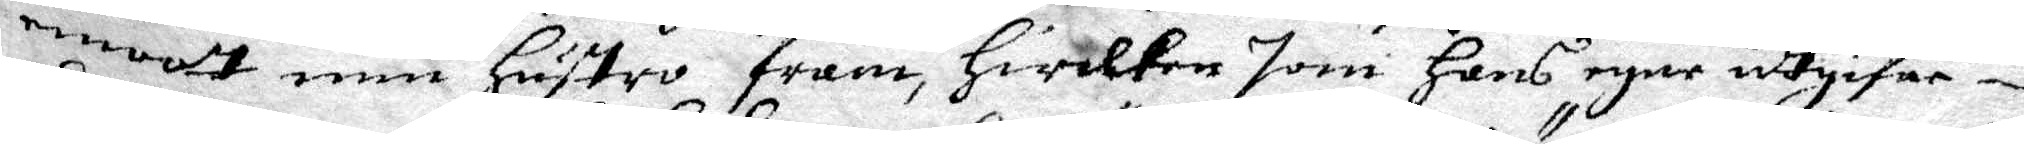emoot min hustro fram, hwilken som hans egen utgifne
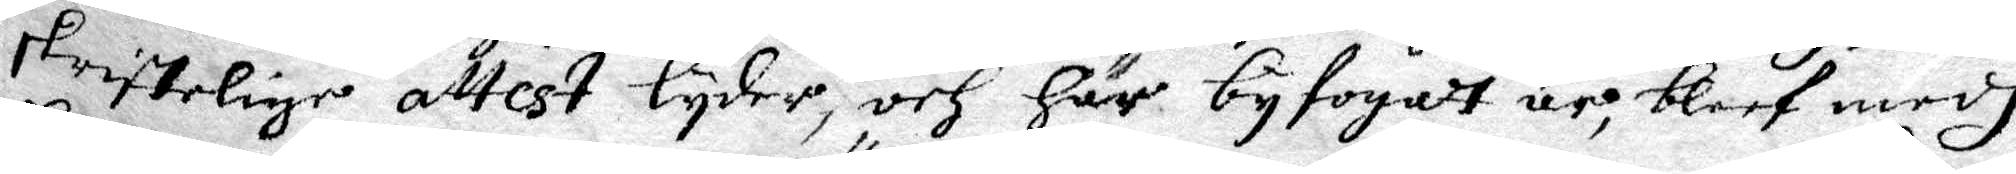skriftelige attest lyder, och här byfogat är, bleef medh
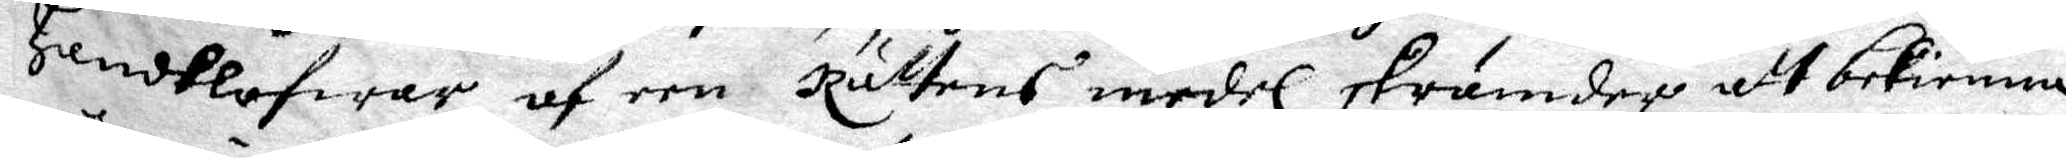handklofwar af een Rättens medel skrämder att bekiänna
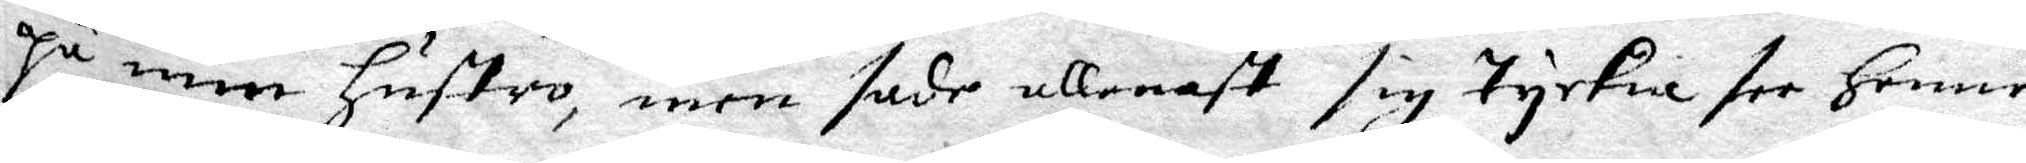på min hustro, men sade allenast sig tyckia see henne
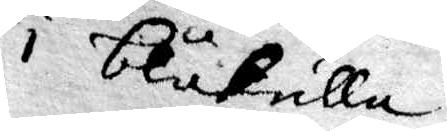i blåkulla.
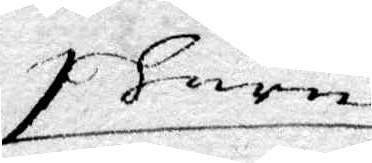huru
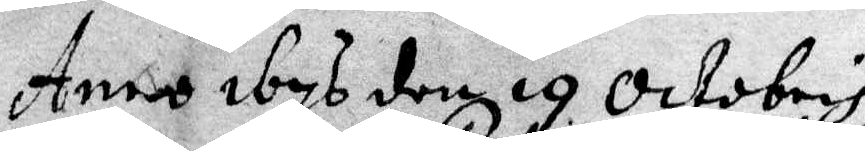Anno 1676 den 19 Octobris
